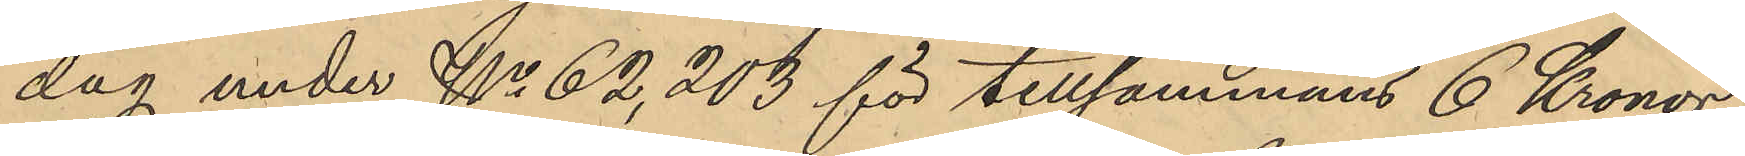dag under No 62,203 för tillsammans 6 Kronor
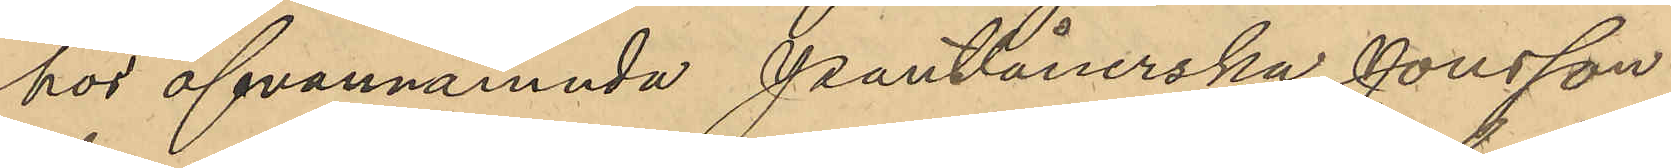hos ofvannämnda Pantlånerska Jonsson
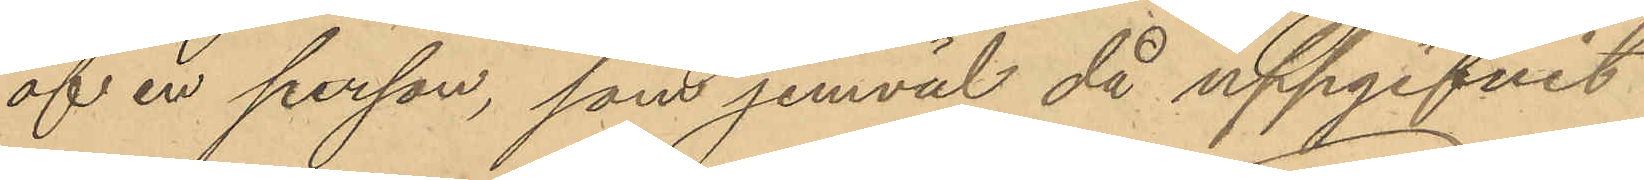af en person, som jemväl då uppgifvit
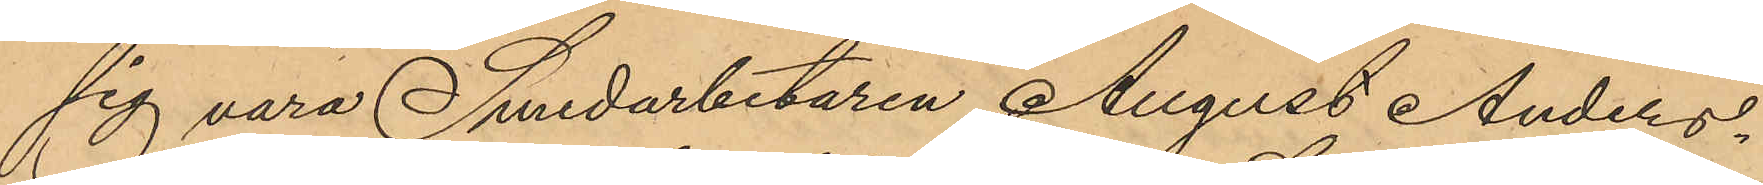sig vara Smedarbetaren August Anders¬
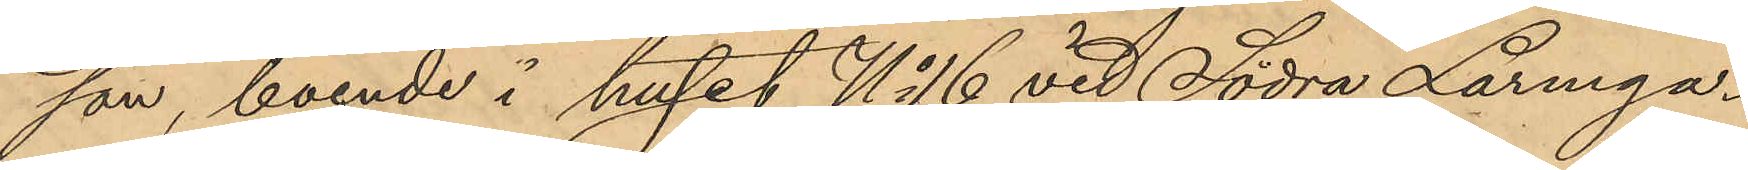son, boende i huset No 16 vid Södra Larmga¬
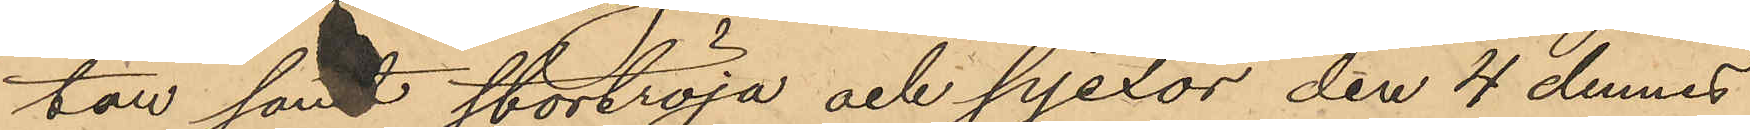tan samt stortröja och pjexor den 4 dennes
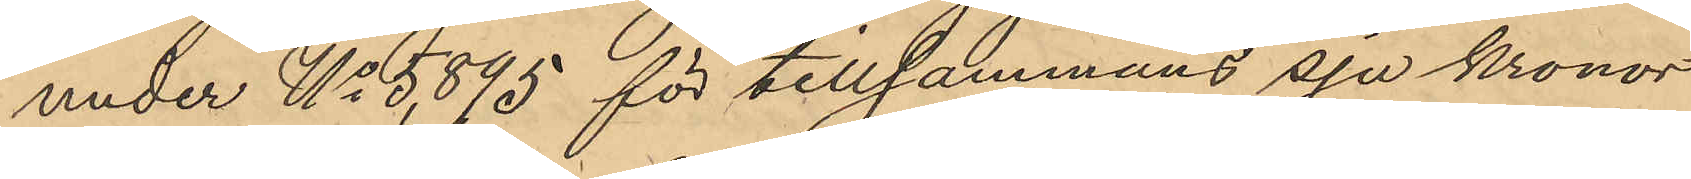under No 5,595 för tillsammans sju kronor
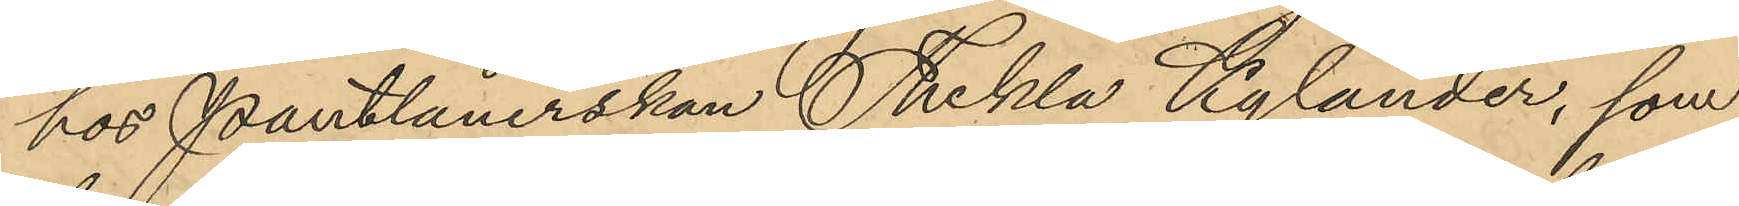hos Pantlånerskan Thekla Kylander, som
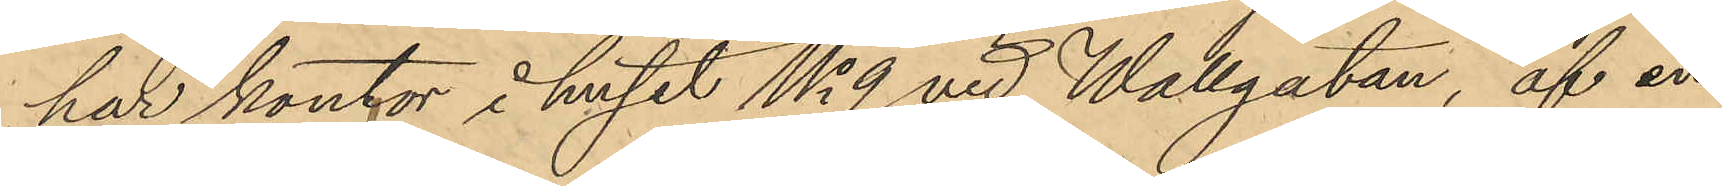har kontor i huset No 9 vid Wallgatan, af en
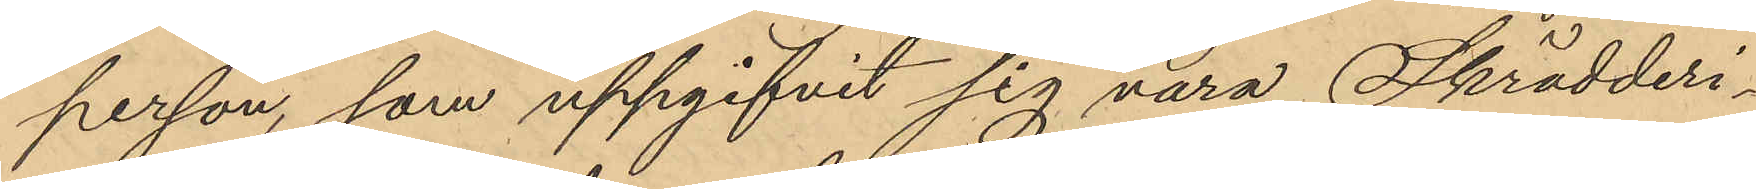person, som uppgifvit sig vara Skrädderi¬
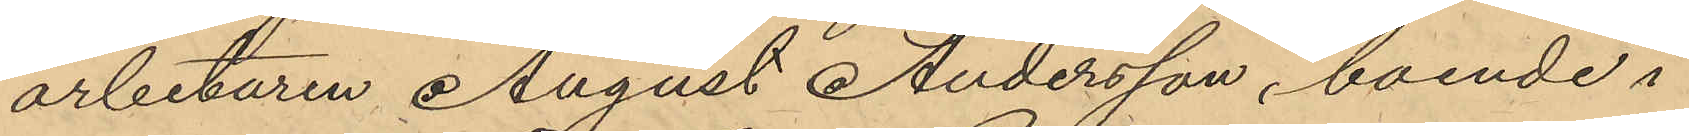arbetaren August Andersson, boende i
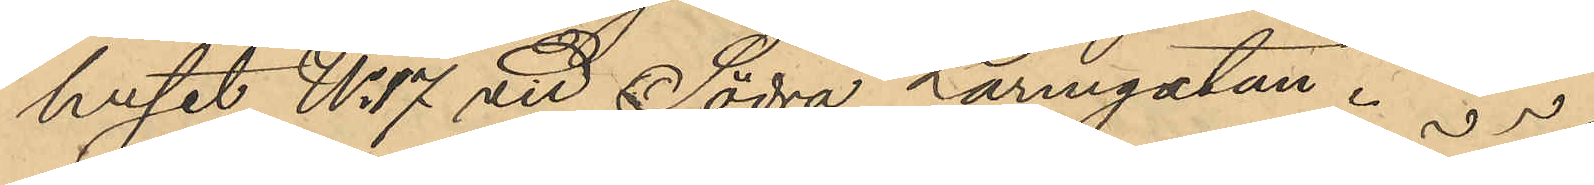huset No 17 vid Södra Larmgatan.
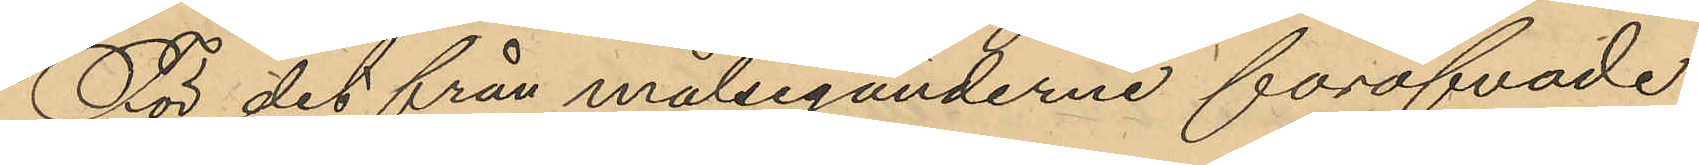För det från målseganderne föröfvade
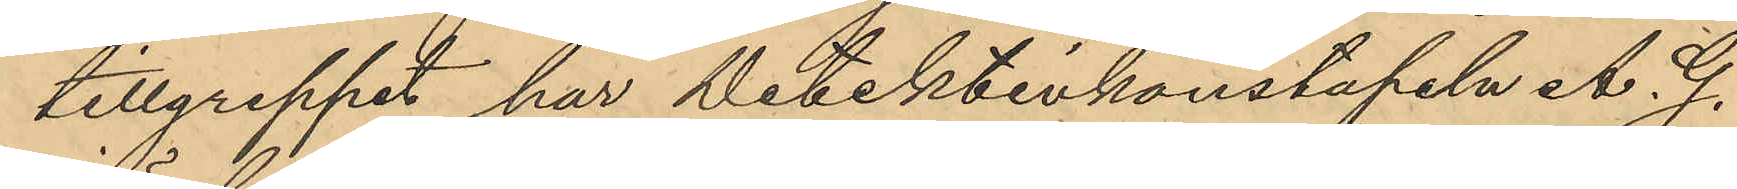tillgreppet har Detektivkonstapeln A. G.
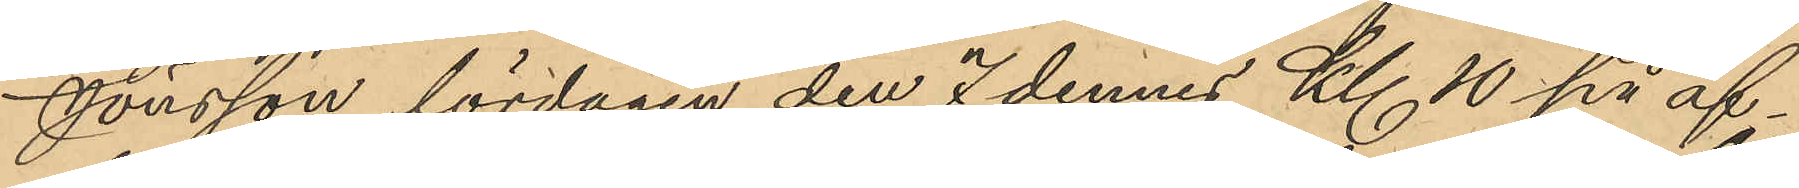Jonsson lördagen den 7 dennes Kl 10 på af¬
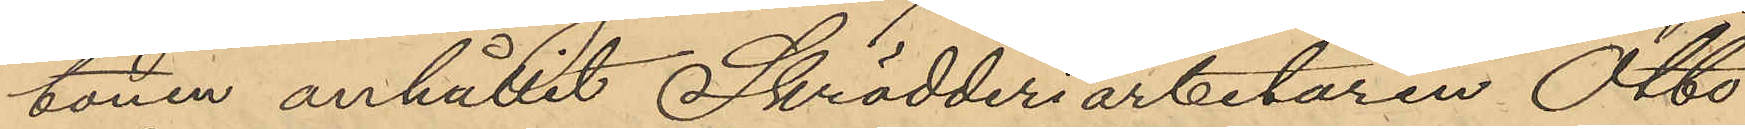tonen anhållit Skrädderiarbetaren Otto
